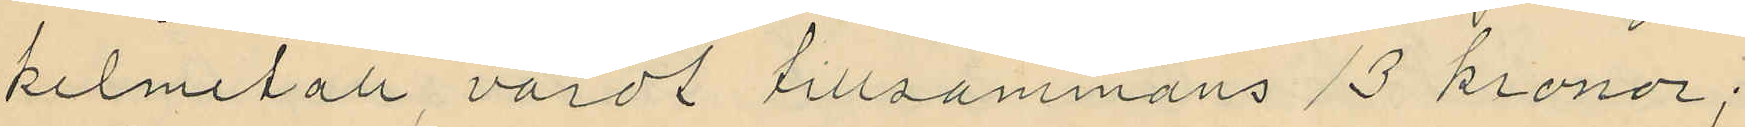kelmetall, värdt tillsammans 13 kronor;
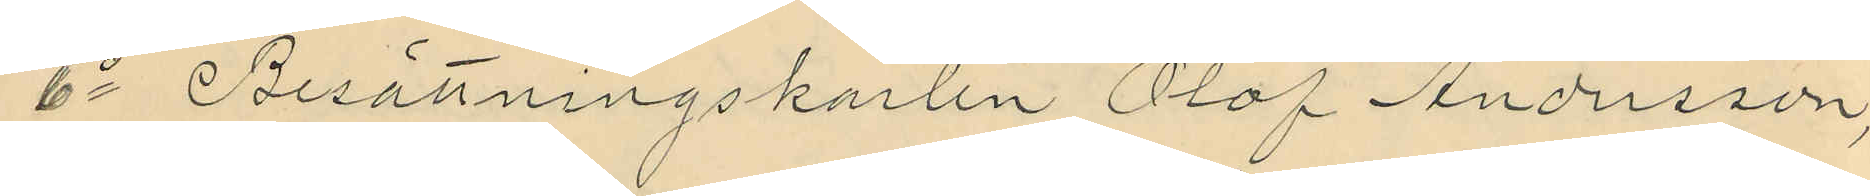6o Besättningskarlen Olof Andersson,
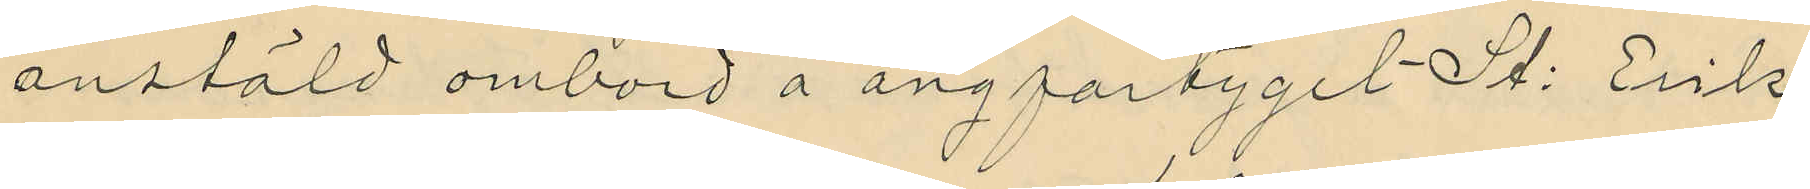anstäld ombord å ångfartyget St: Erik
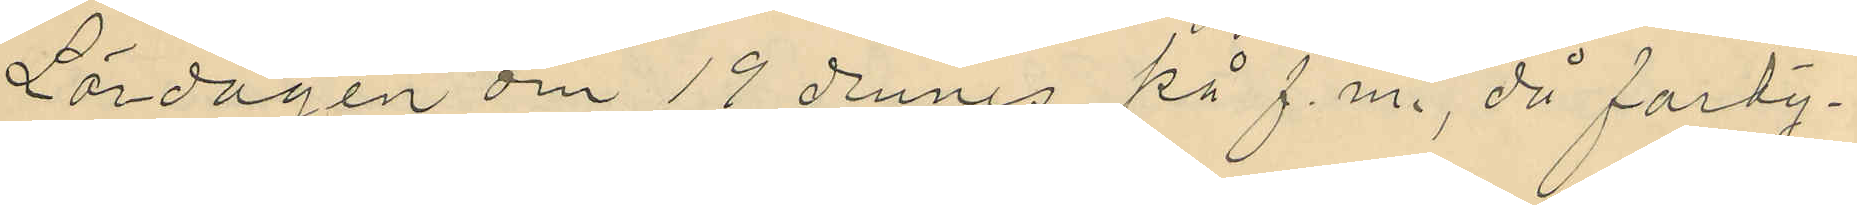Lördagen om 19 dennes på f.m., då farty¬
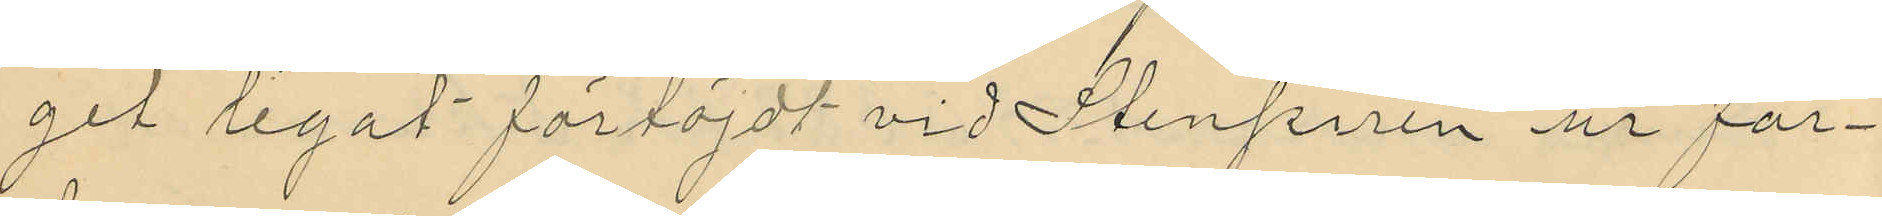get legat förtöjdt vid Stenpiren ur far¬
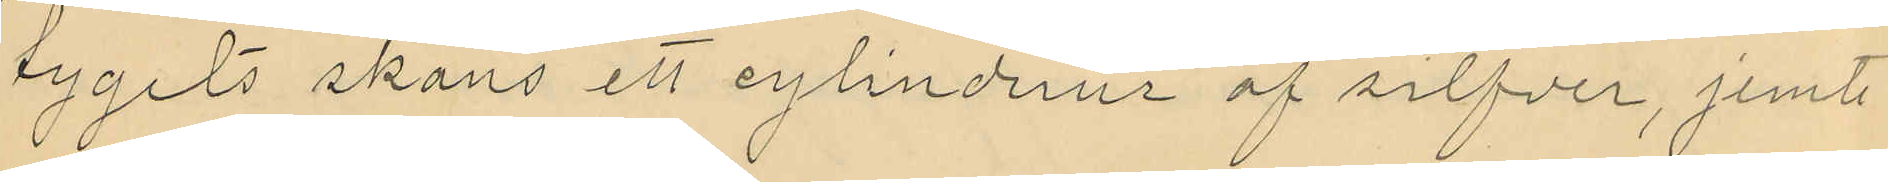tygets skans ett cylinderur af silfver, jemte
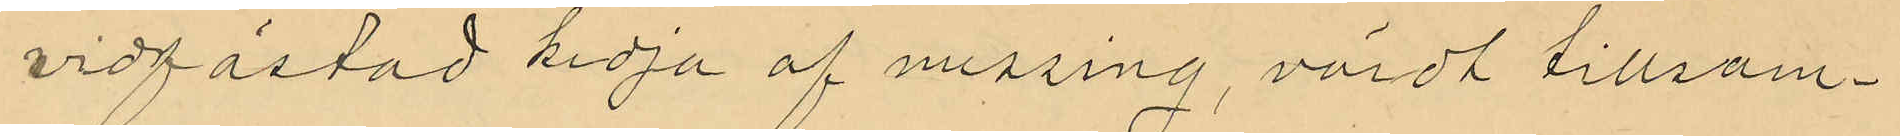vidfästad kedja af messing, värdt tillsam¬
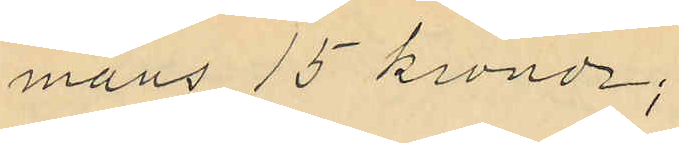mans 15 kronor;
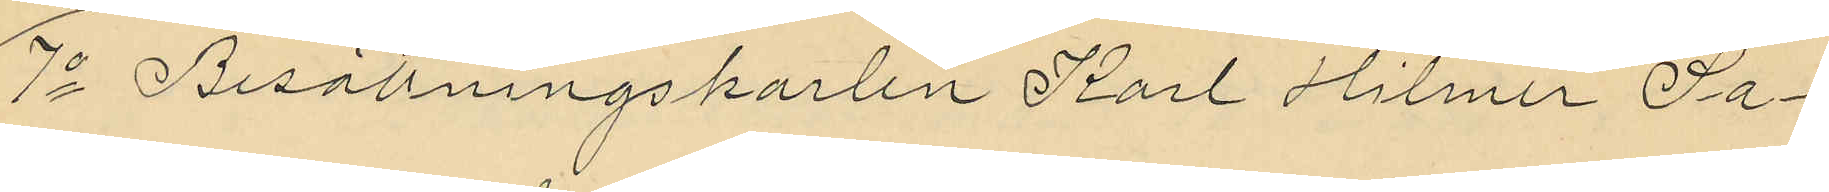7o Besättningskarlen Karl Hilmer Sa¬
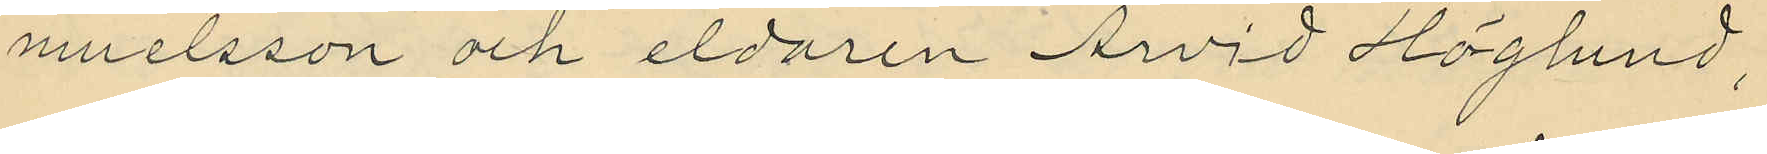muelsson och eldaren Arvid Höglund,
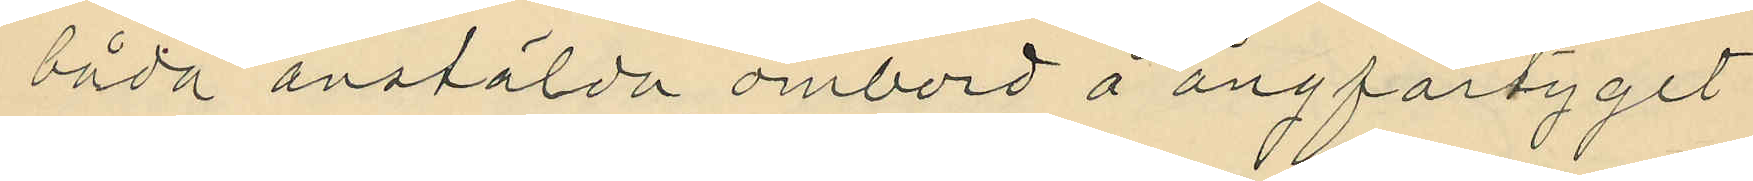båda anstälda ombord å ångfartyget
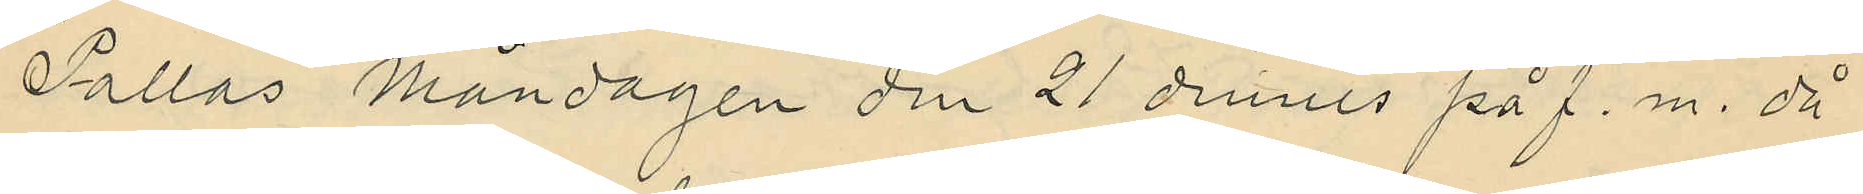"Pallas" Måndagen den 21 dennes på f.m. då
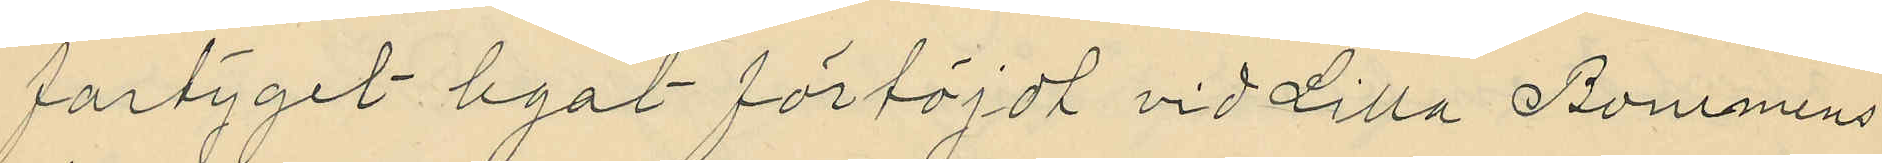fartyget legat förföjdt vid Lilla Bommens
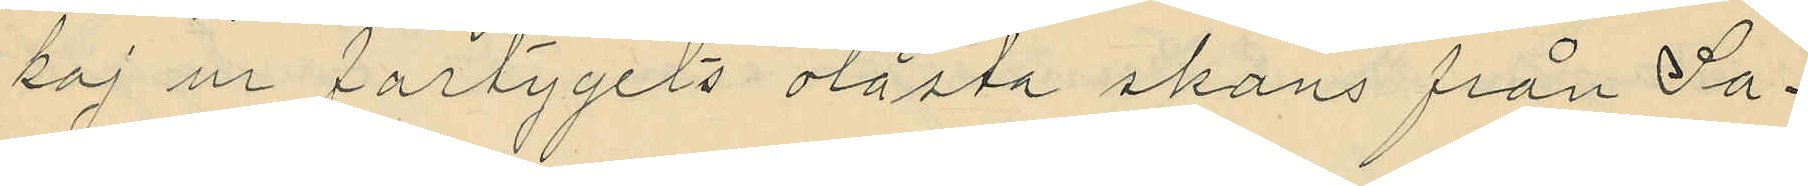kaj ur fartygets olåsta skans från Sa¬
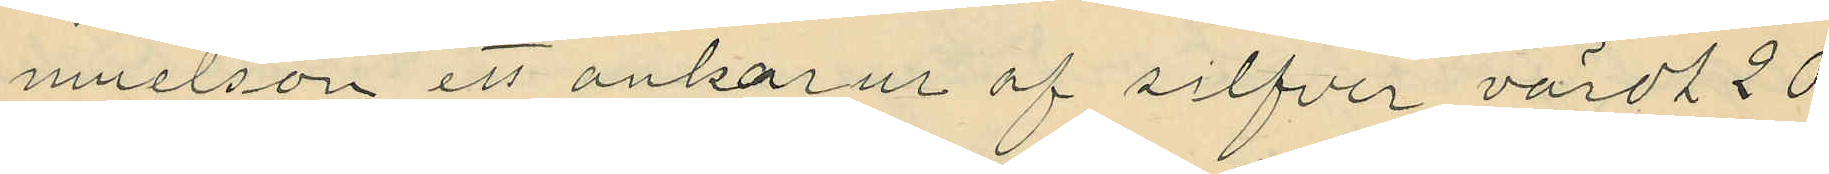muelson ett ankarur af silfver, värdt 20
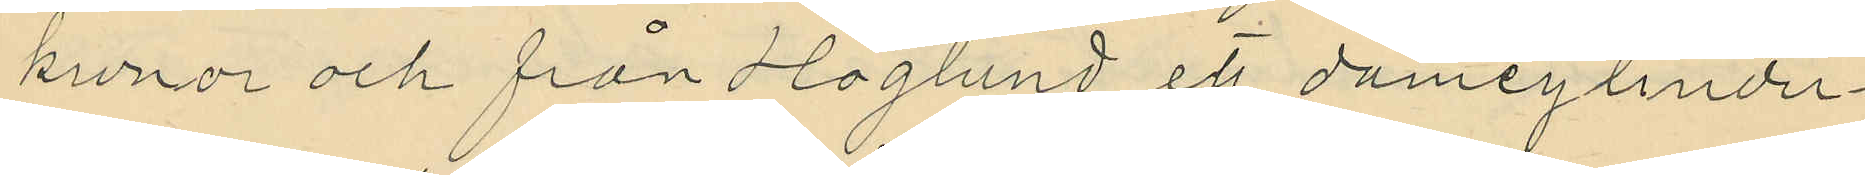kronor och från Höglund ett damcylinder¬
